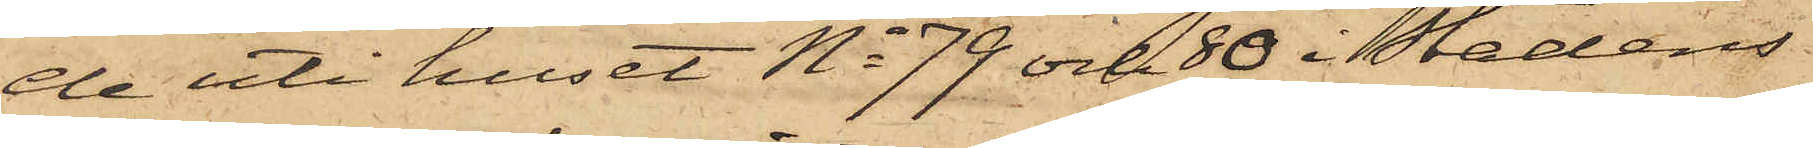de uti huset No 79 och 80 i Stadens
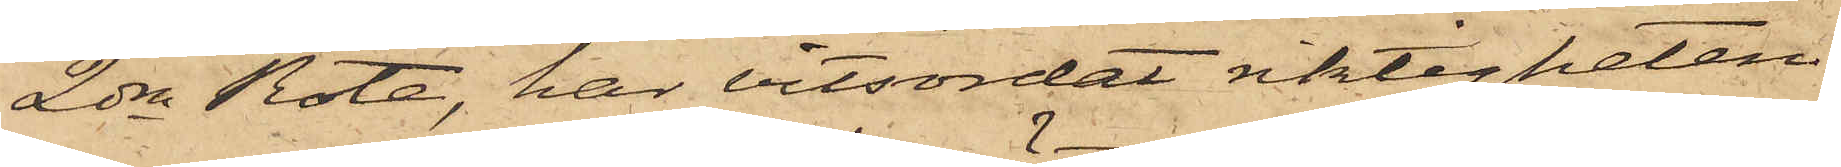2dra Rote, har vitsordat riktigheten
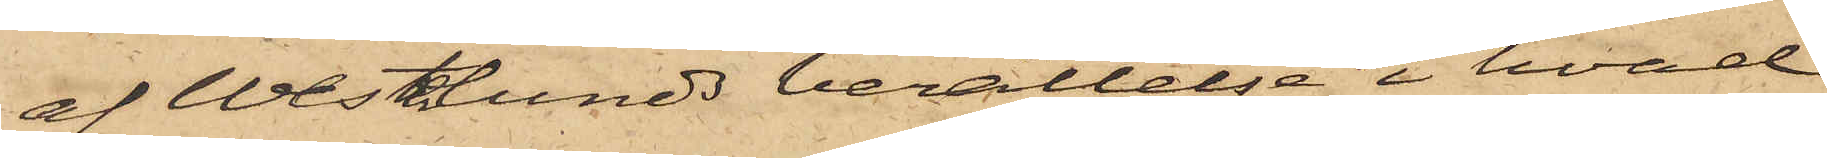af Westerlunds berättelse, i hvad
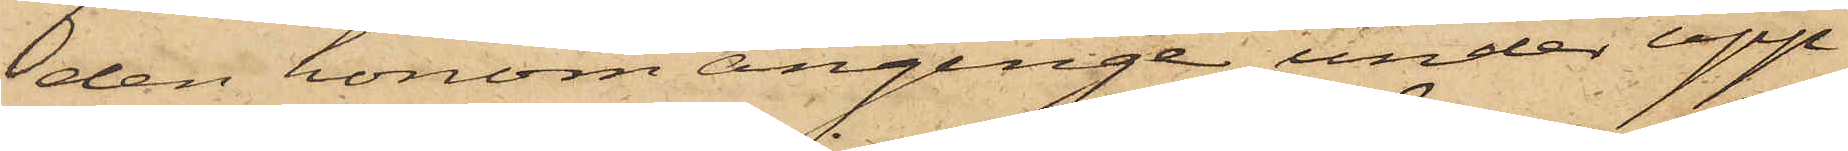den honom anginge, under upp¬
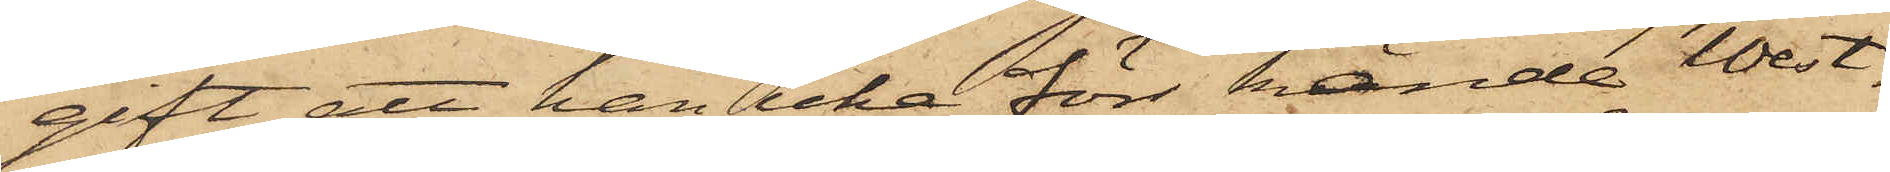gift, att han icke förr kände West¬
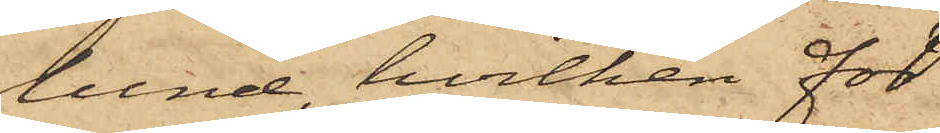lund, hvilken för
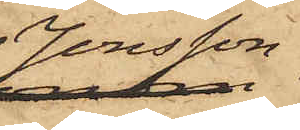Jonsson
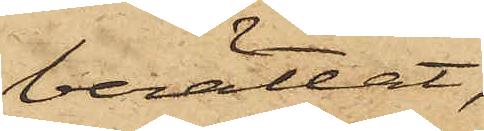berättat,
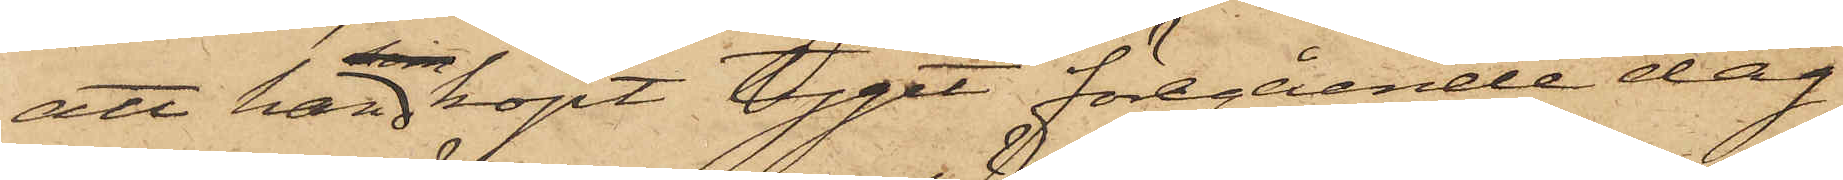att han köpt tyget föregående dag
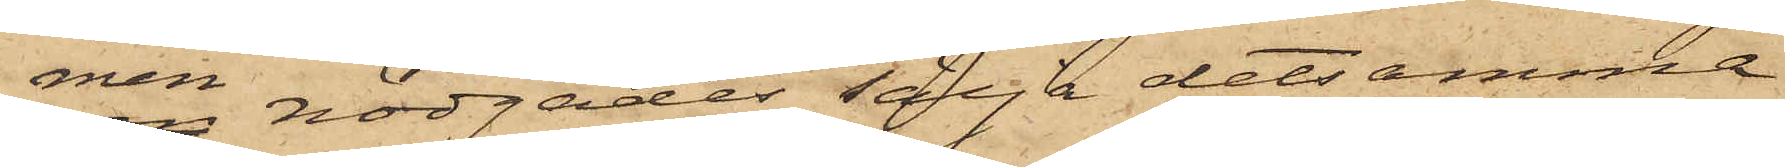men nödgades sälja detsamma
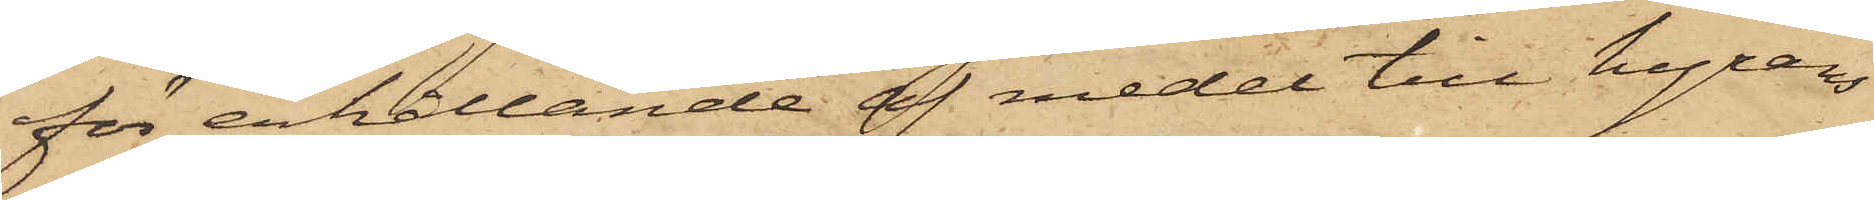för erhållande af medel till hyrans
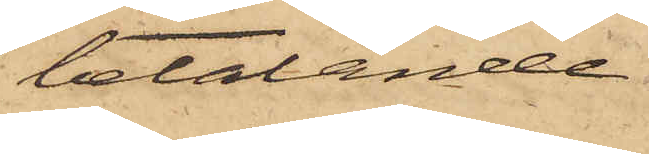betalande.
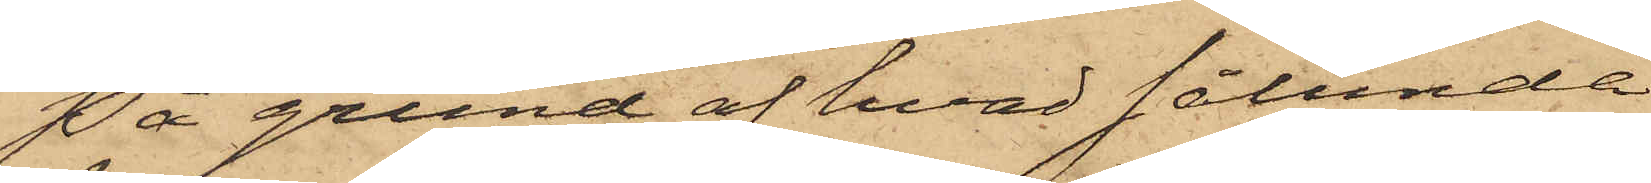På grund af hvad sålunda
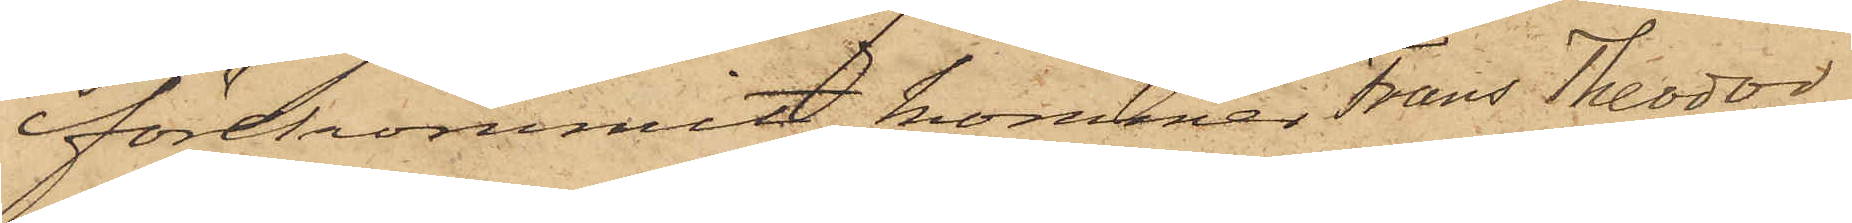förekommit, kommer Frans Theodor
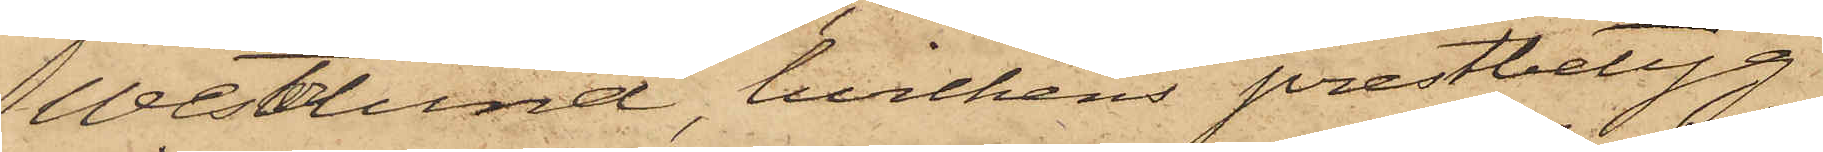Westerlund, hvilkens prestbetyg
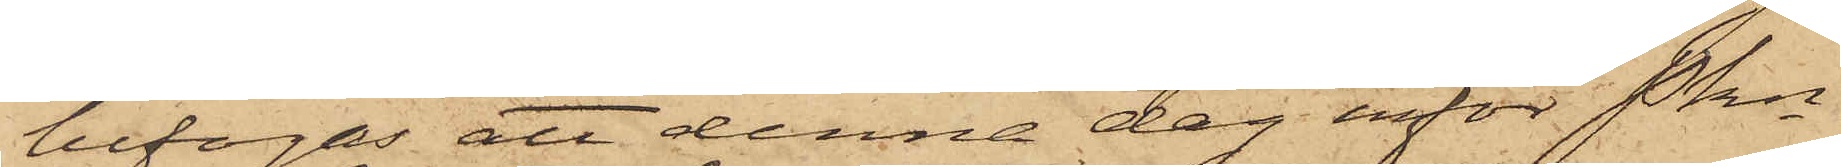bifogas att denna dag inför Pkn
